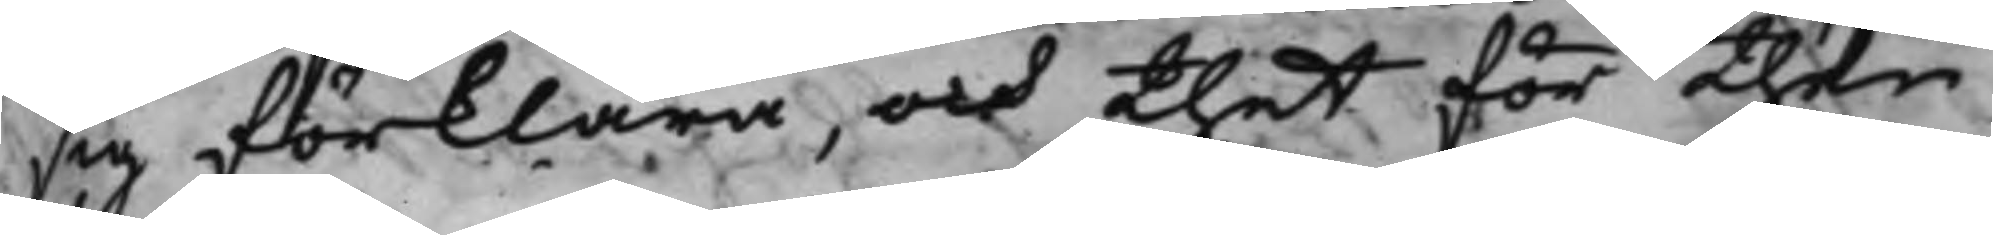sig förklara, och thet för then
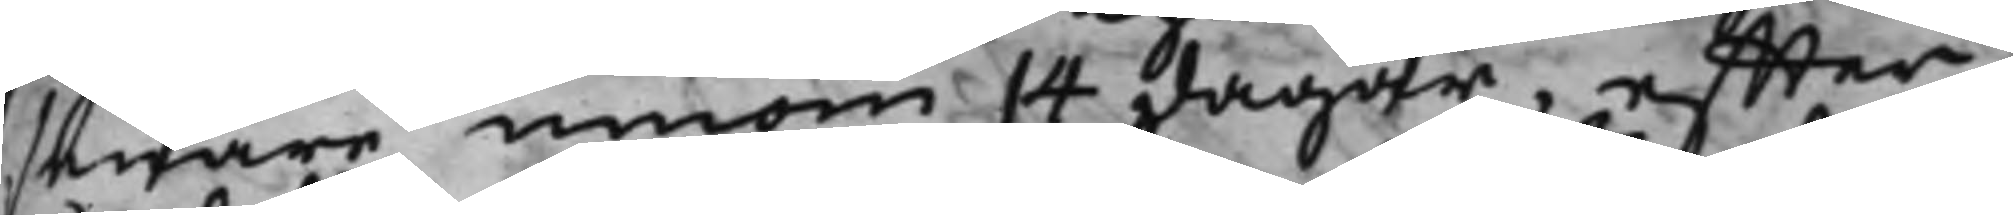senare innom 14 dagar, effter
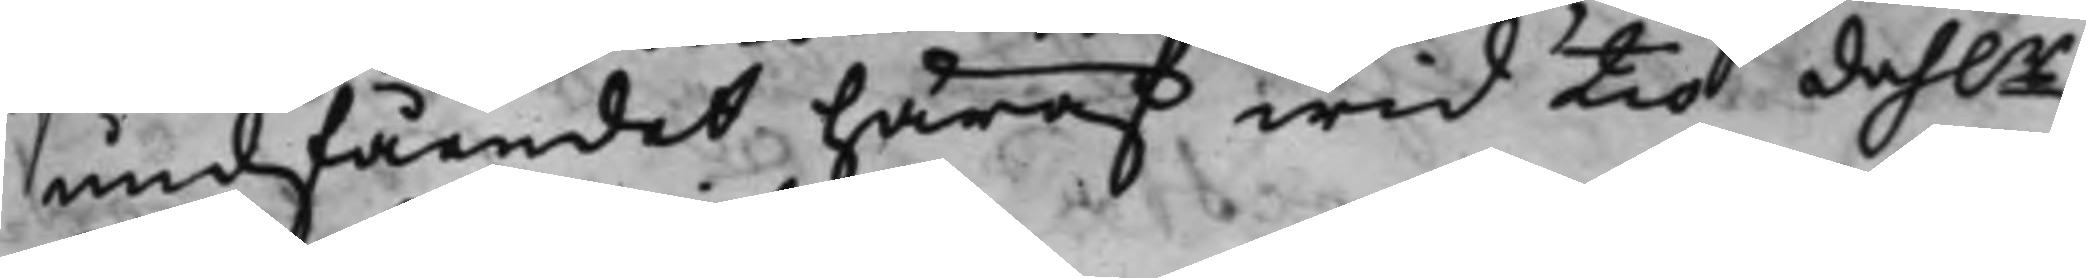undfåendet häraf wid tio dah.r
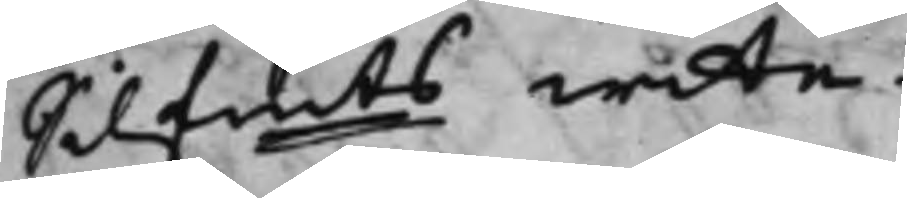Silfmts wite.
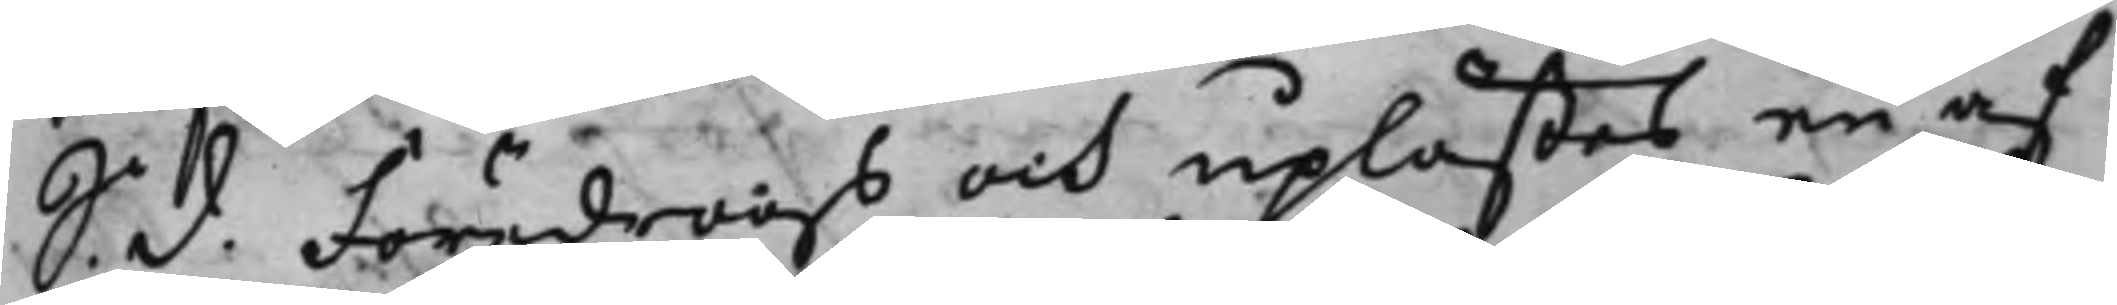S. d. Föredrogs och uplästes en af
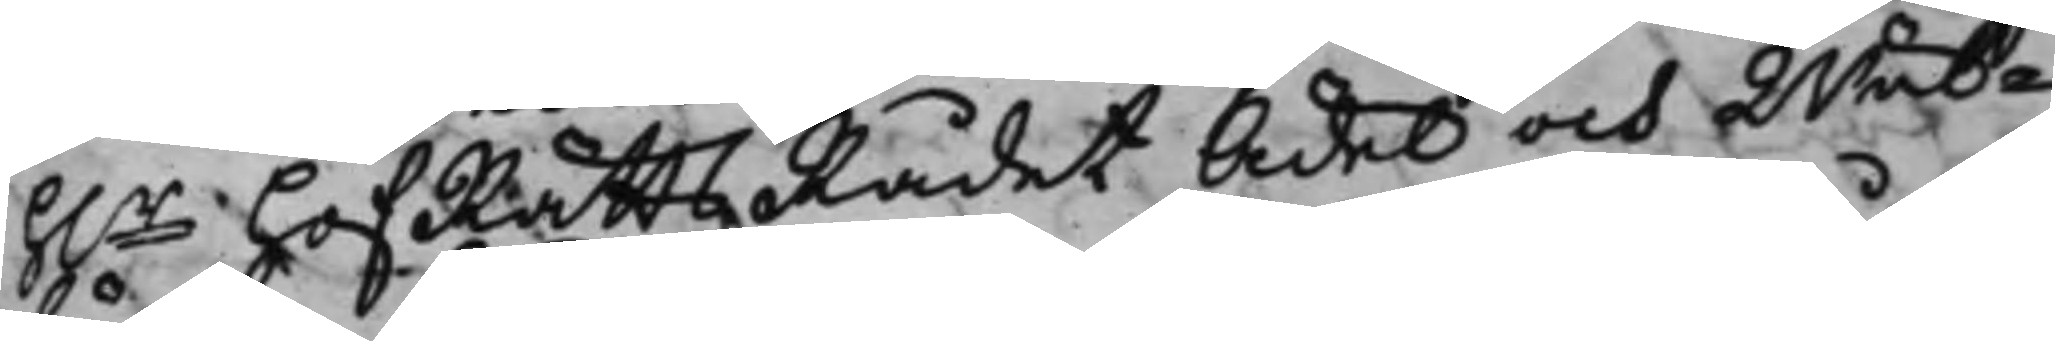h.r HofRättsRådet Ädel och Wäl¬
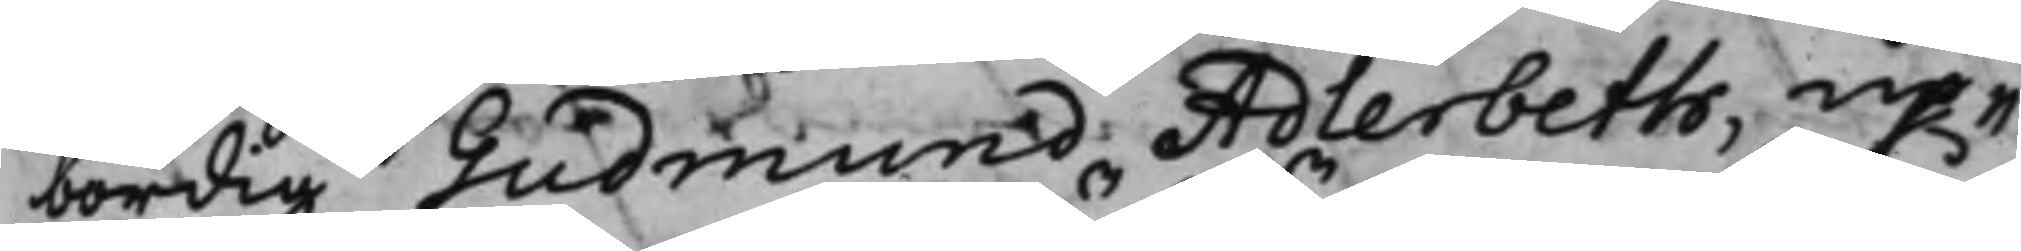bördig Gudmund Adlerbeth, up¬
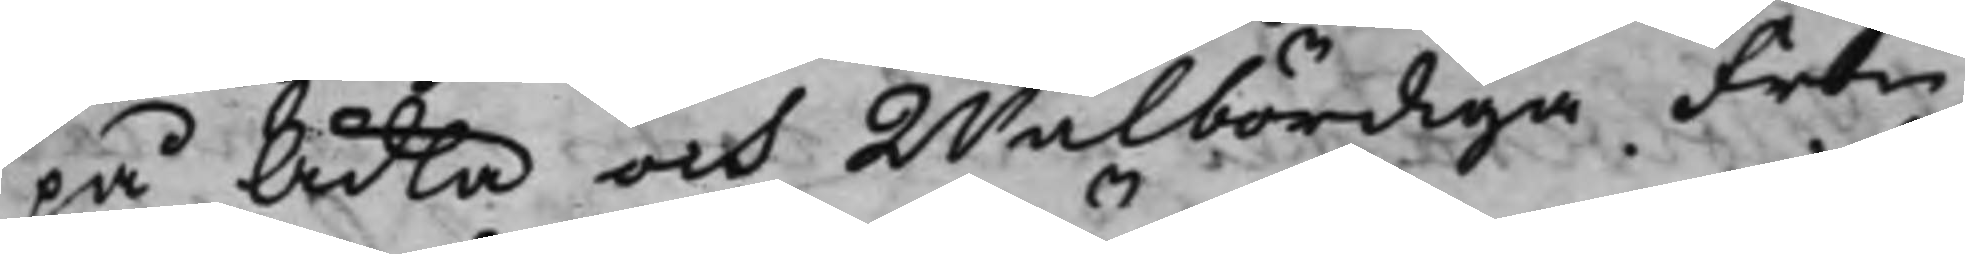på Ädla och Wälbördiga Fru
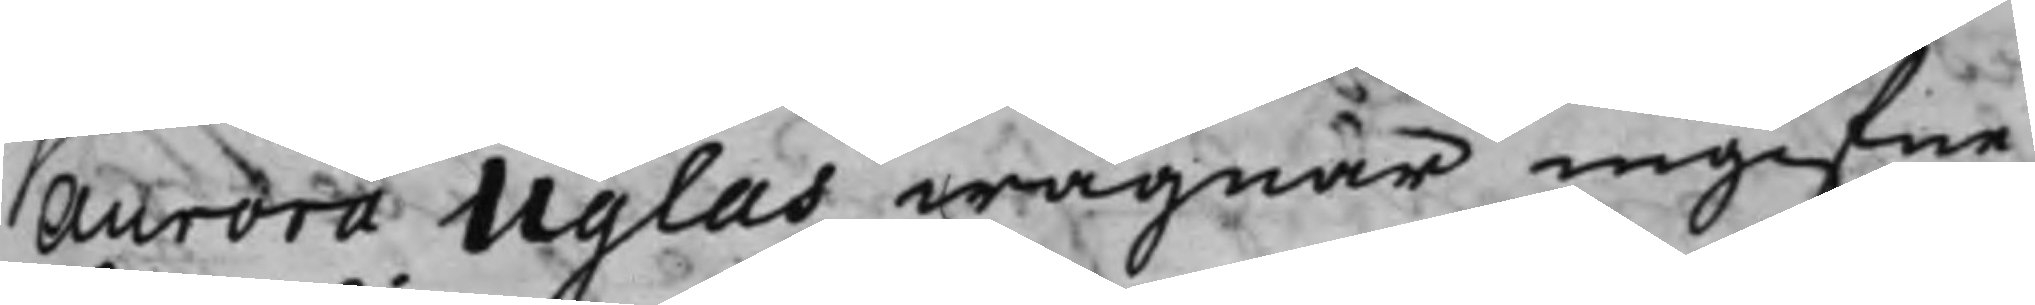Aurora Uglas wägnar ingifne
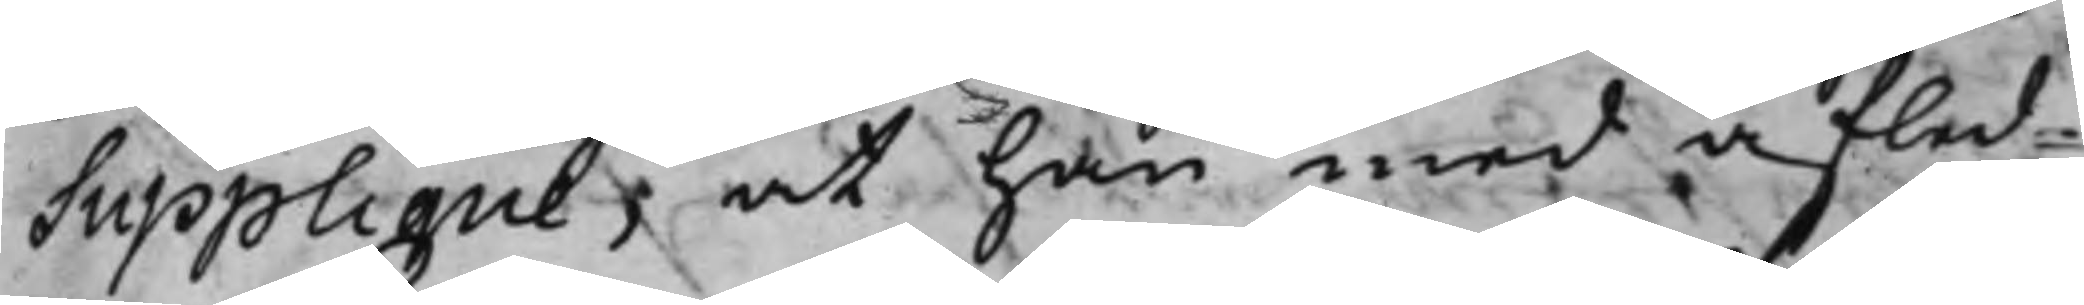Supplique, at han med afled¬
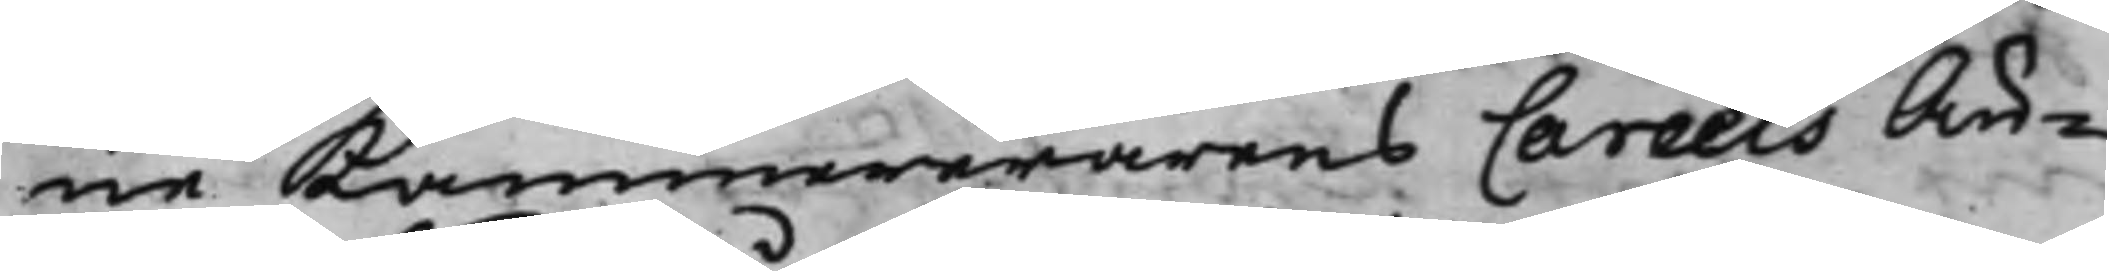ne Kammererarens Careels Än¬
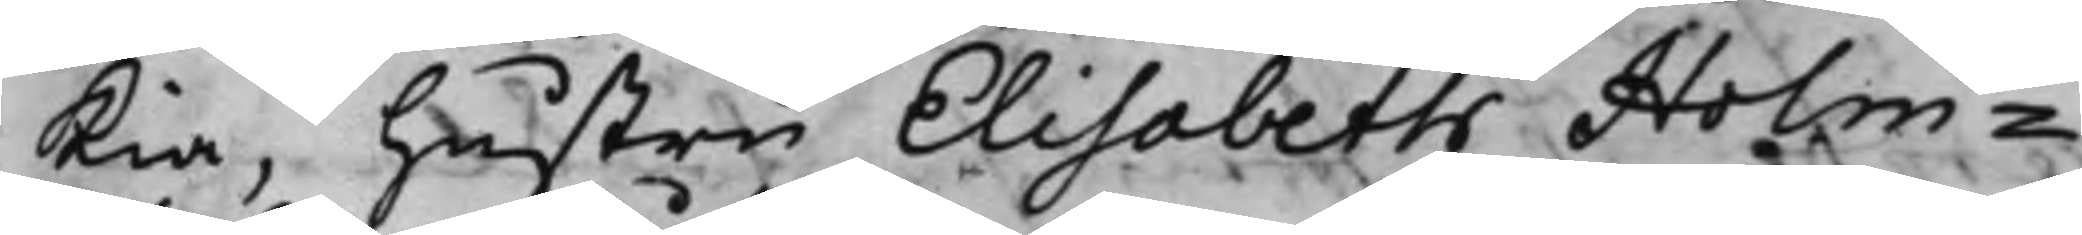kia, hustru Elisabeth Holm¬
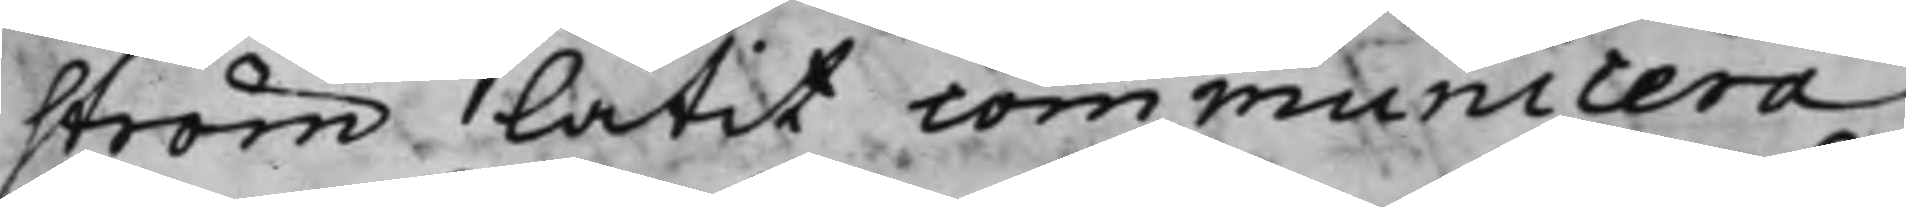ström låtit communicera
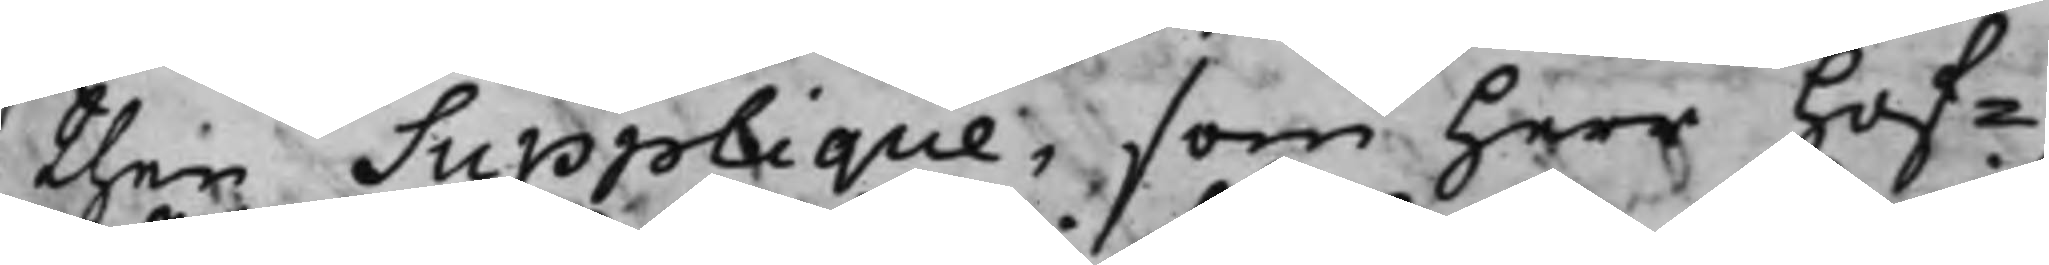then Supplique, som herr Hof¬
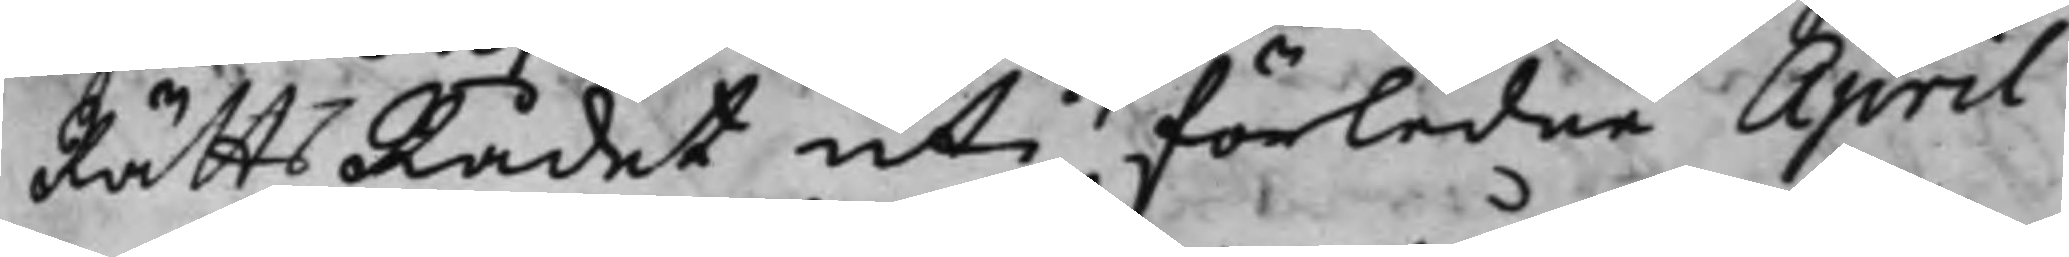RättsRådet uti förledne April
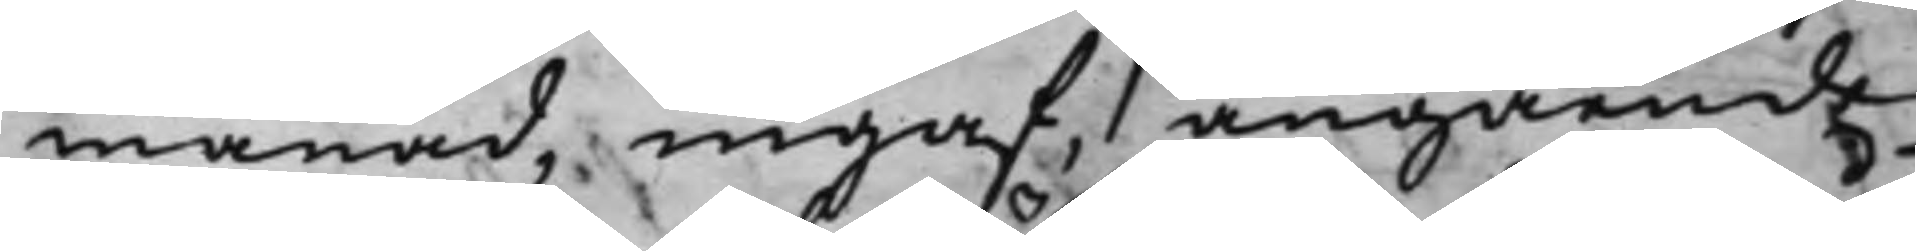månad, ingaf, angående
